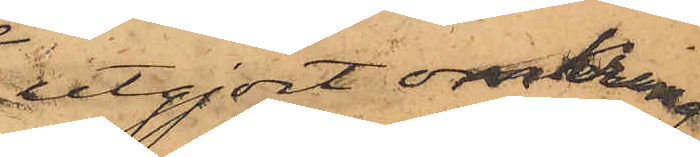utgjort omkring
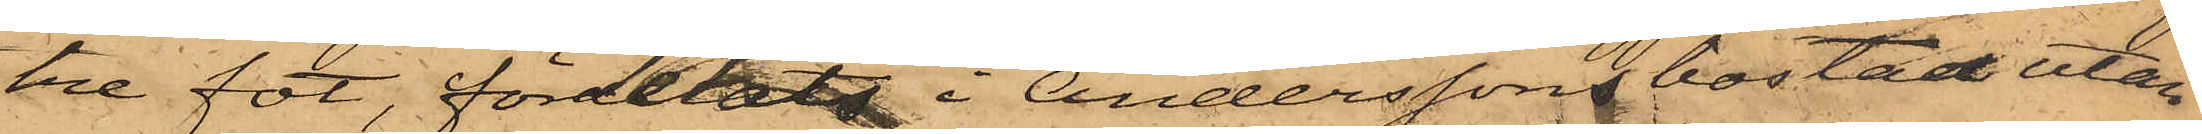tre fot, fördelats i Anderssons bostad utan
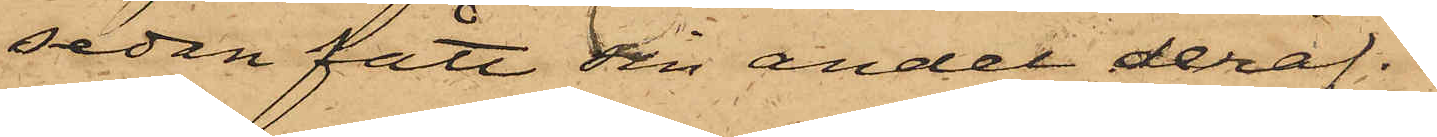sedan fått sin andel deraf.
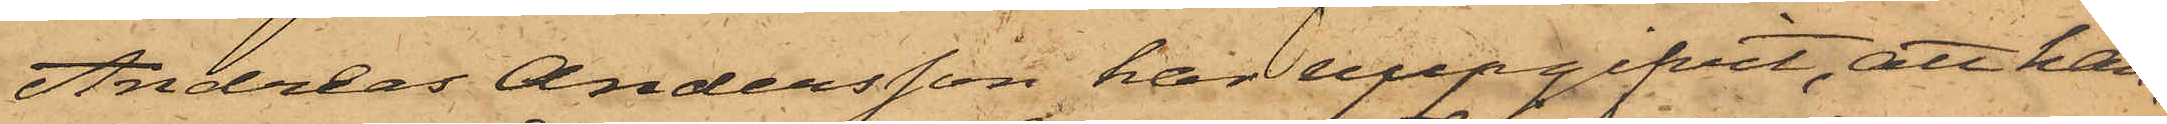Andreas Andersson har uppgifvit, att han,
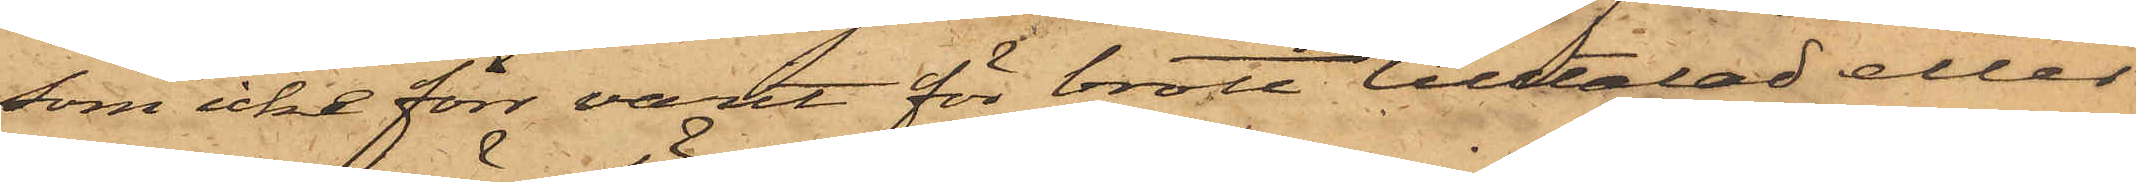som icke förr varit för brott tilltalad eller
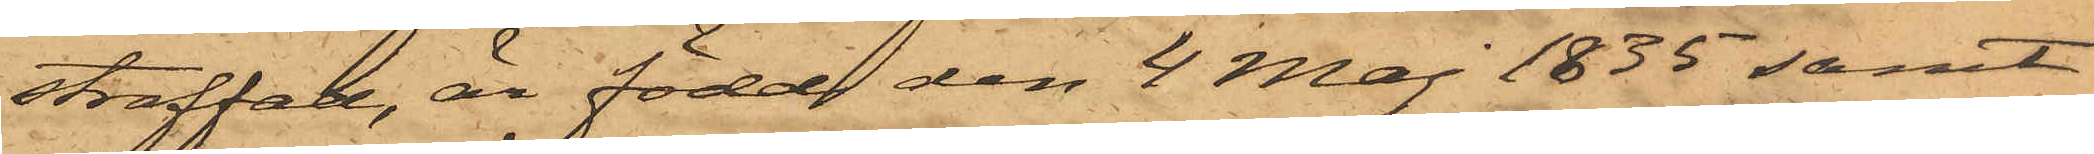straffad, är född den 4 Maj 1835 samt
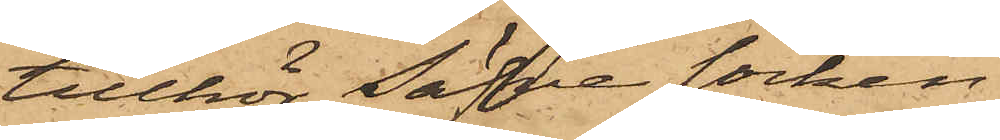tillhör Säfve socken
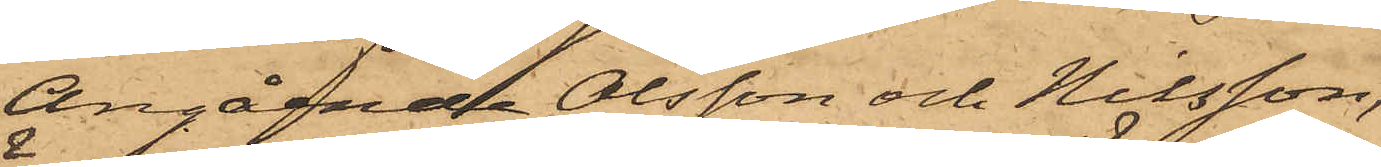Angående Olsson och Nilsson,
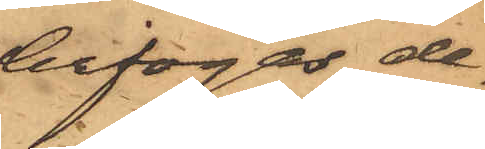bifogas de¬
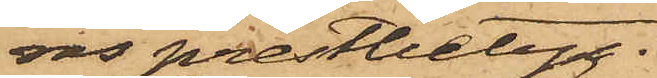ras prestbetyg.
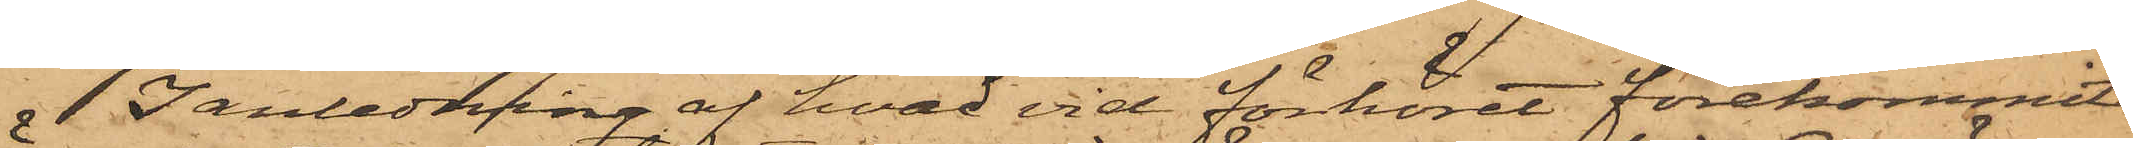I anledning af hvad vid förhöret förekommit
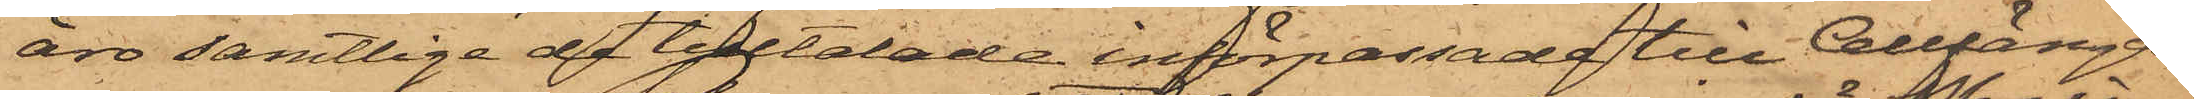äro samtlige de tilltalade införpassade till Cellfängel¬
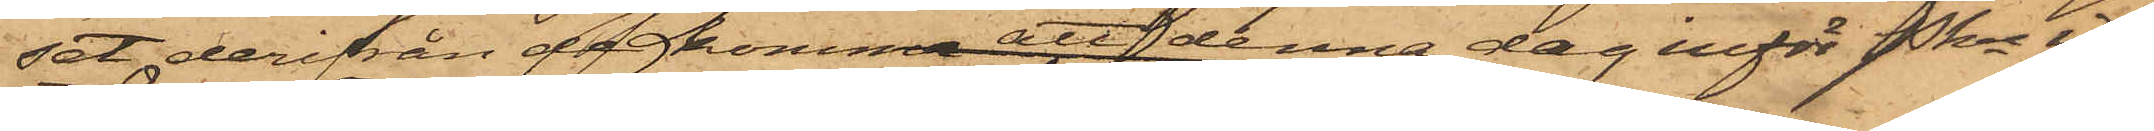set, derifrån de komma att denna dag inför Pkn in¬
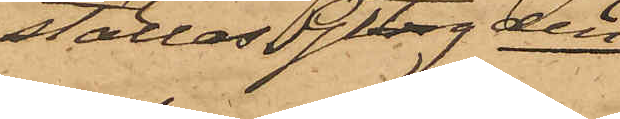ställas Gtbrg den
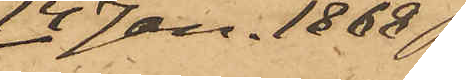14 Jan. 1868
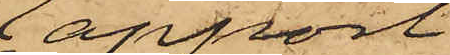Rapport
